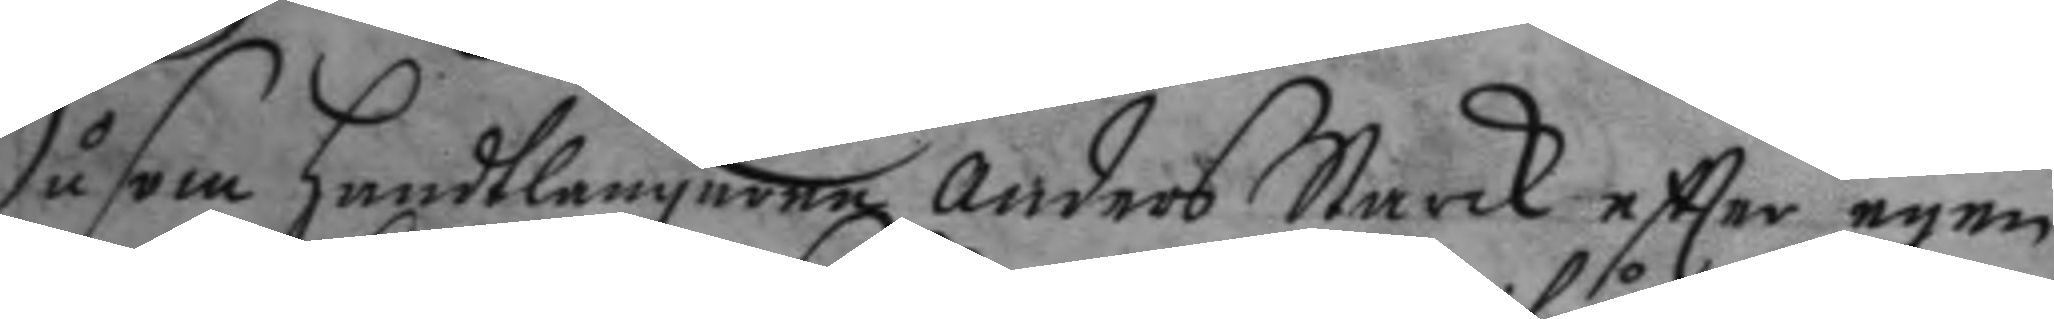Såsom handtlangaren Anders Starck eftter egen
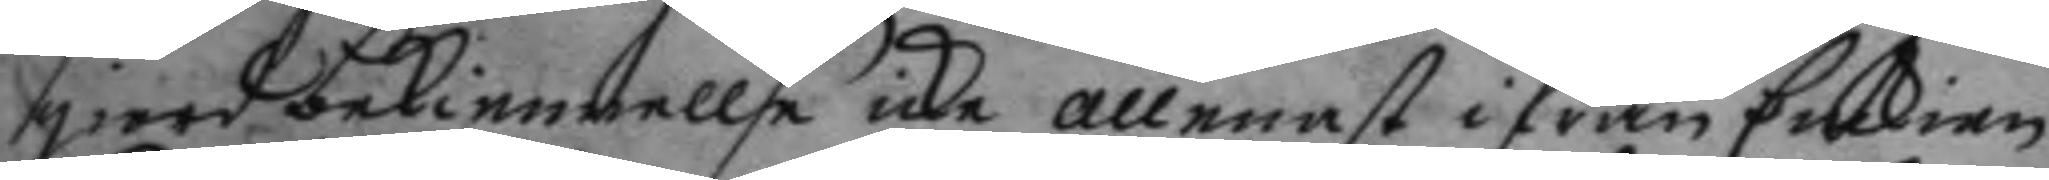giord bekiennellse icke allenast ifrån Enckian
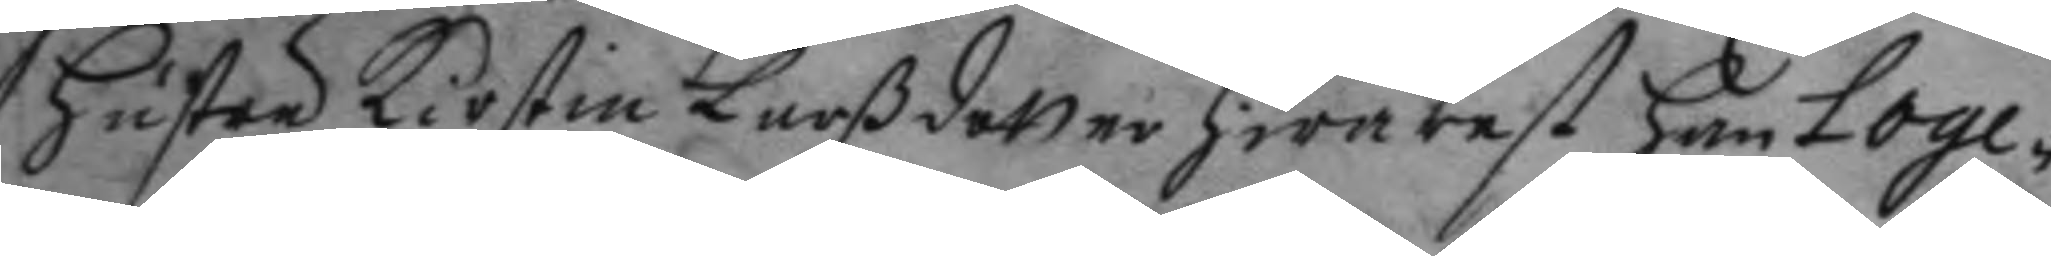hustru Kirstin Larßdotter hwarest han loge¬
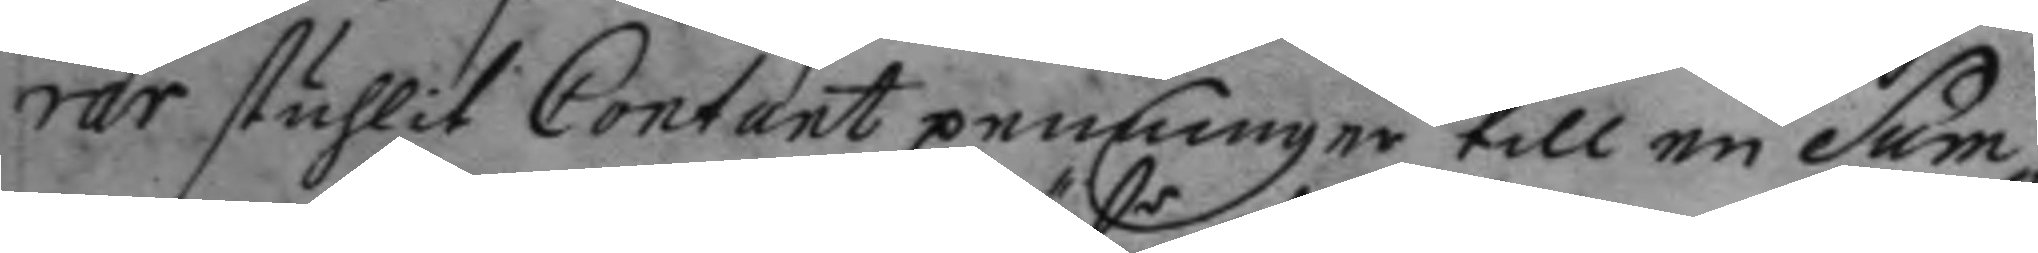rar stuhlit Contant penningar till en Sum¬
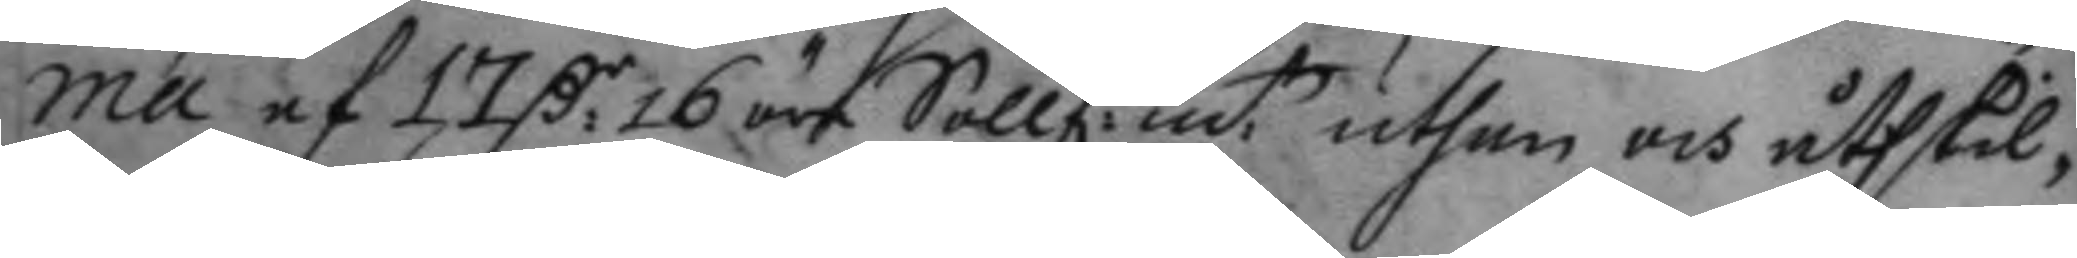ma af 17 C:r 16 öre Söllf:r m:ts uthan och åthskil¬
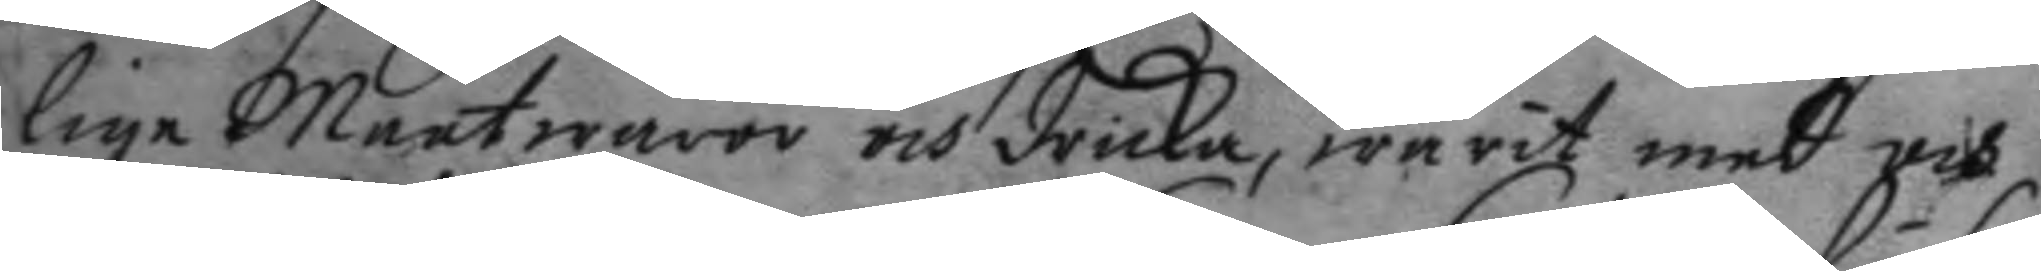lige Maatwaror och dricka, warit med och
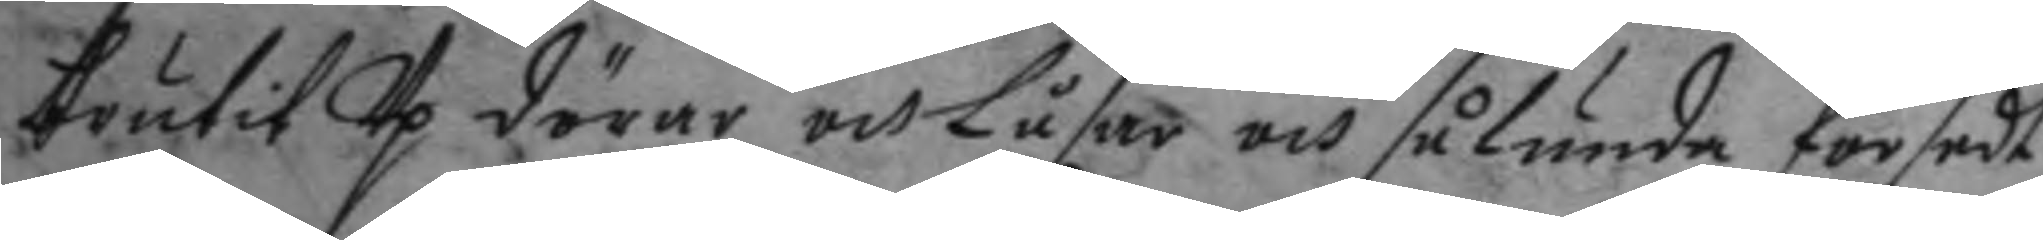brutit Up dörar och Låsar och sålunda försedt
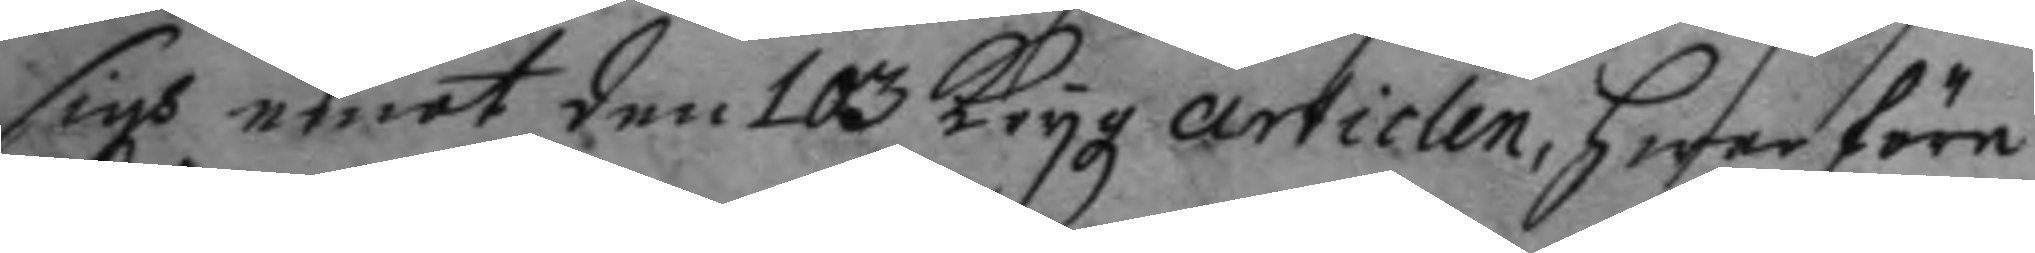sigh emot den 103 Krigz articlen, hwar före
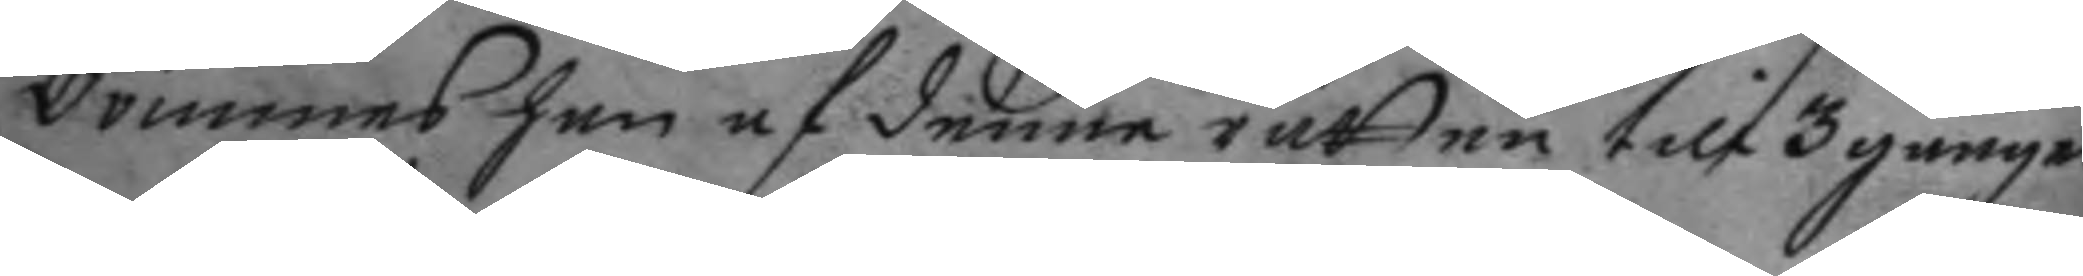dömmes han af denne rätten till 3 gånger
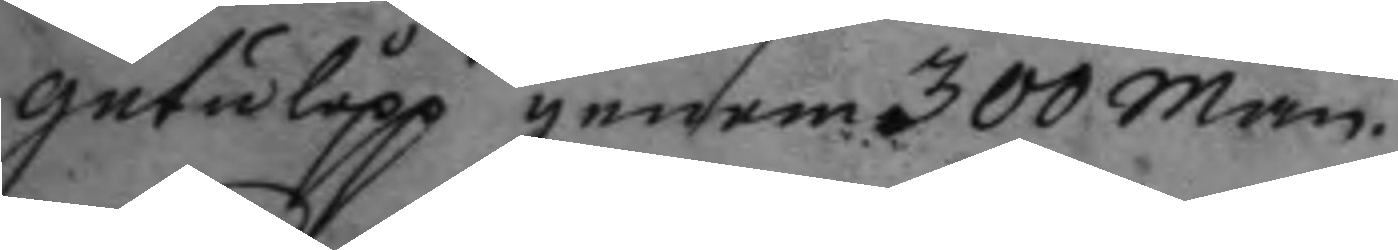gatilopp genom 300 man.
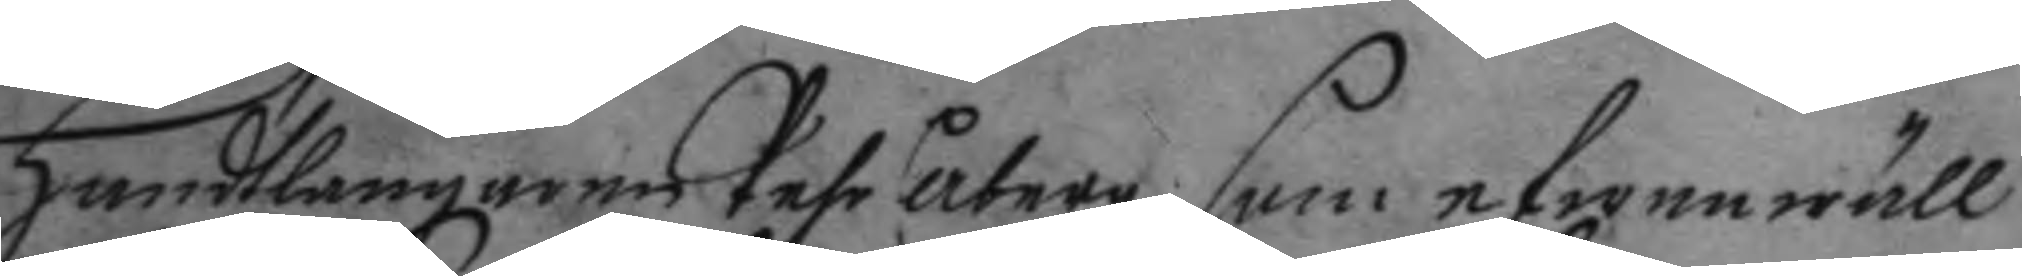handtlangaren Pehr åberg, som efwenwäll
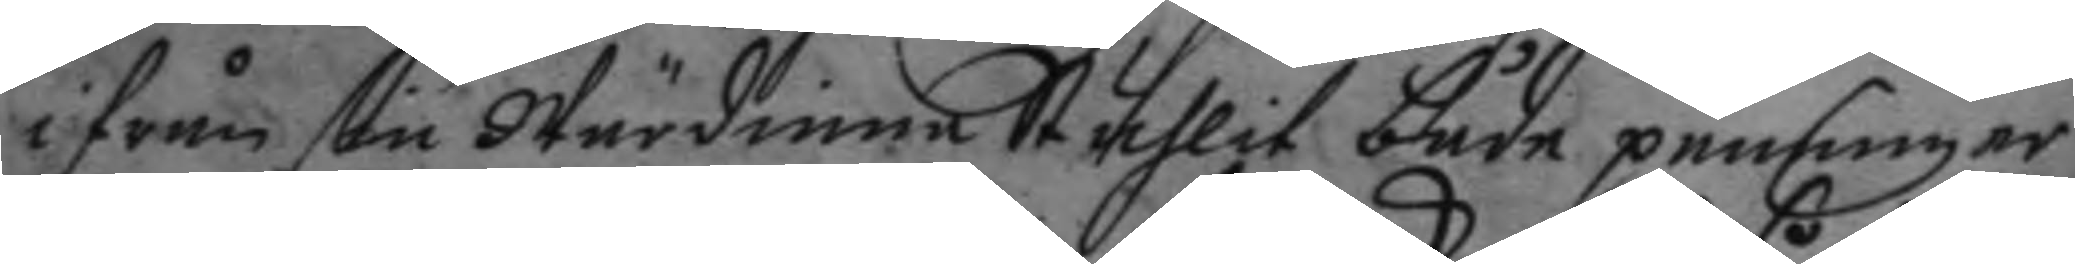ifrån sin Wärdinna Stuhlit både penningar
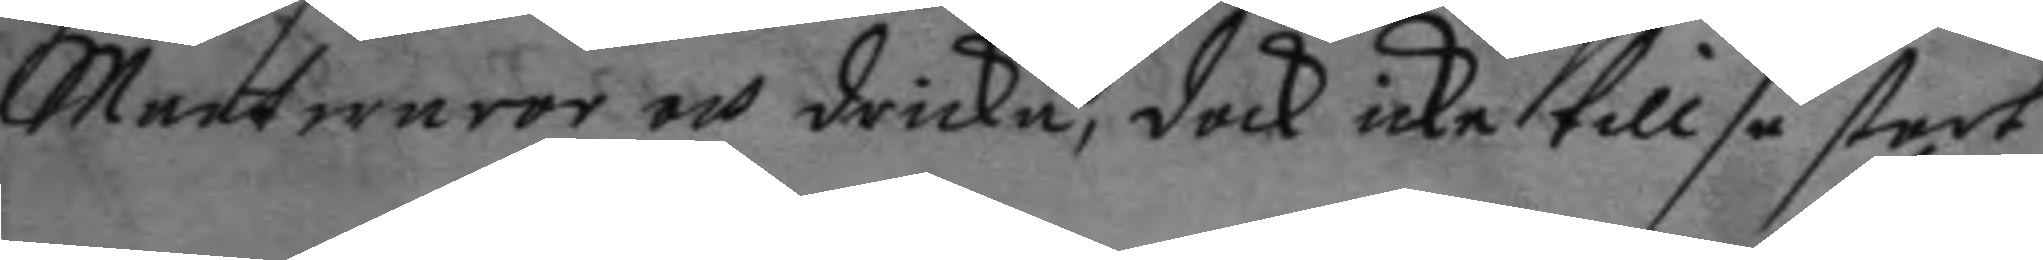maatwaror och dricka, dock icke till så stort
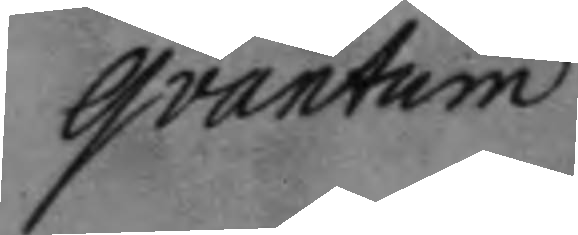qvantum
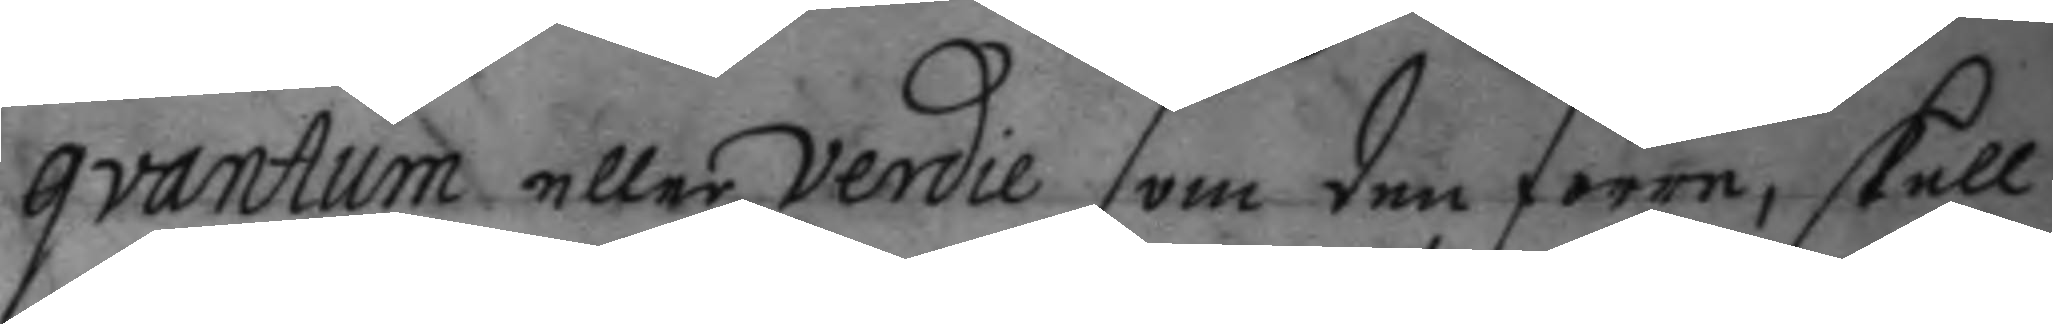qvantum eller verdie som den förre, skall
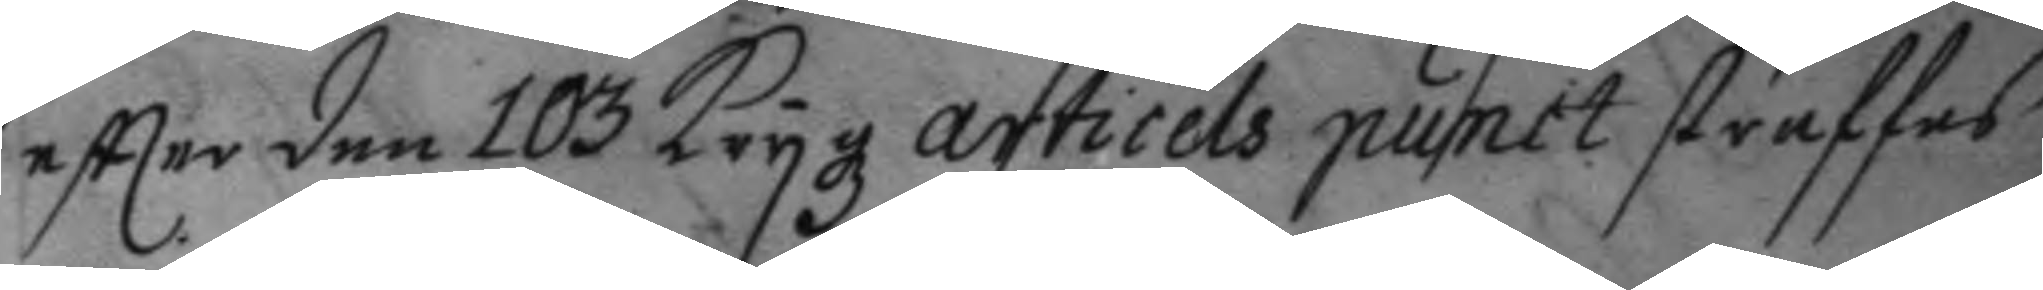eftter den 103 Krygz articels punct straffas
